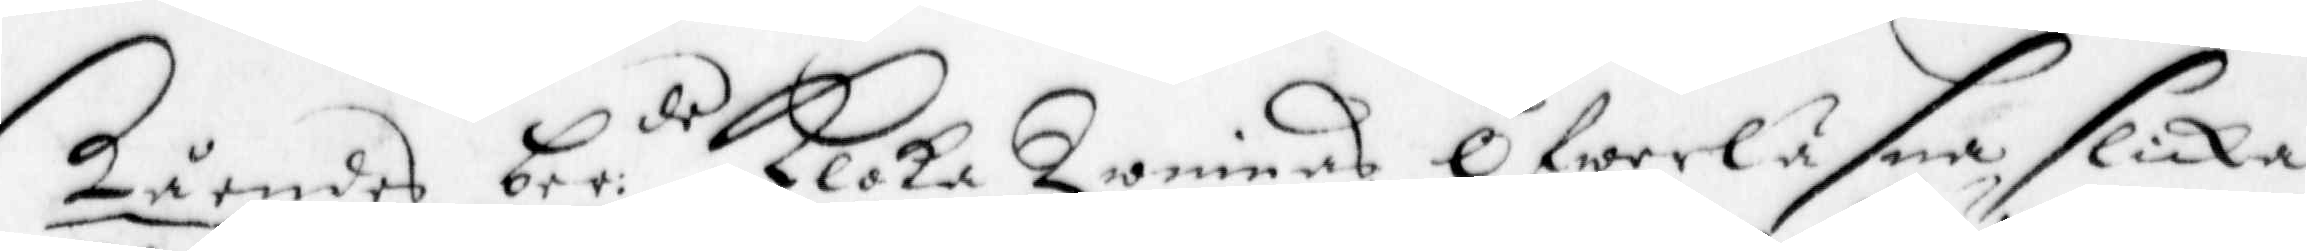ståendes ber:de Kloka Qwinnas Öfwerläsna slicka
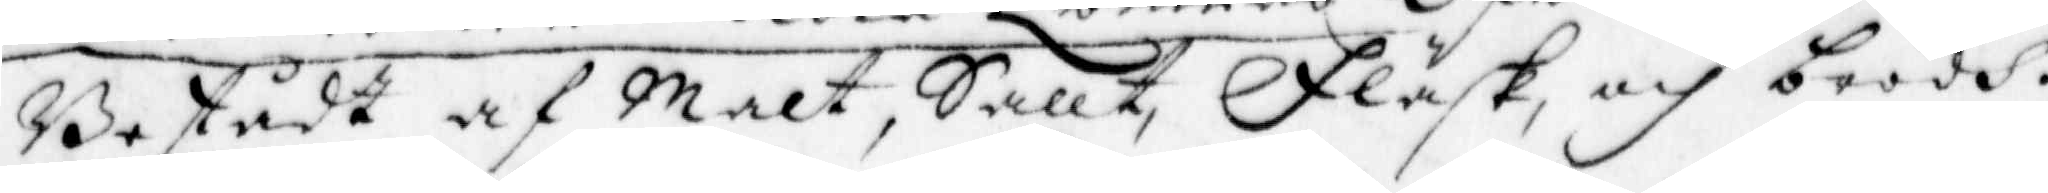Bestådt af Malt, Sallt, Fläsk, och brödh.
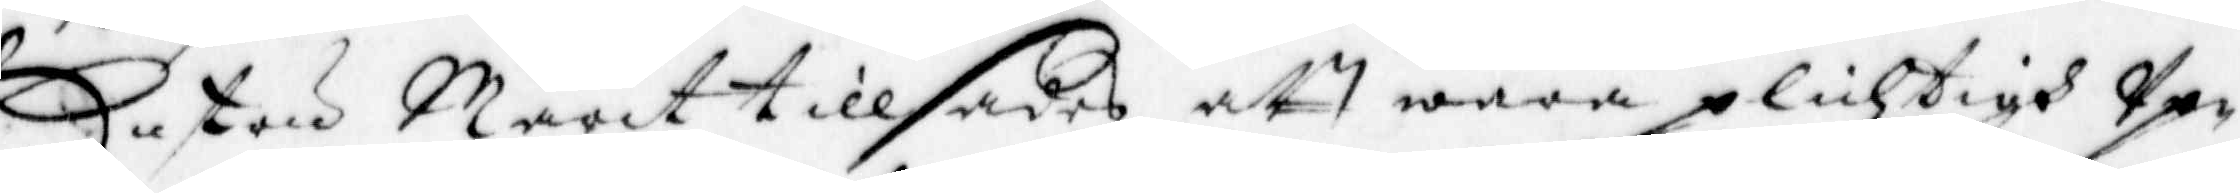Hustru Marit tillsades att wara plichtigh up¬
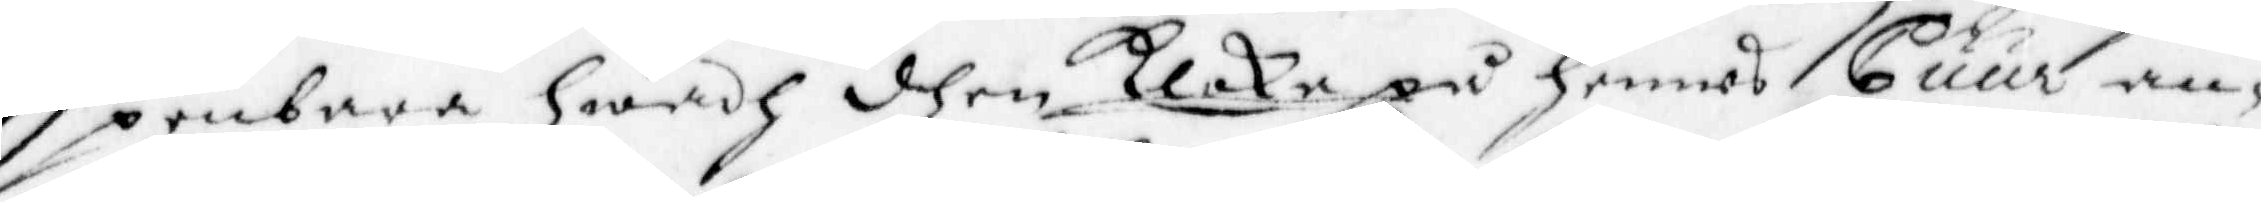penbara hwadh dhen Kloka på hennes Cuur an¬
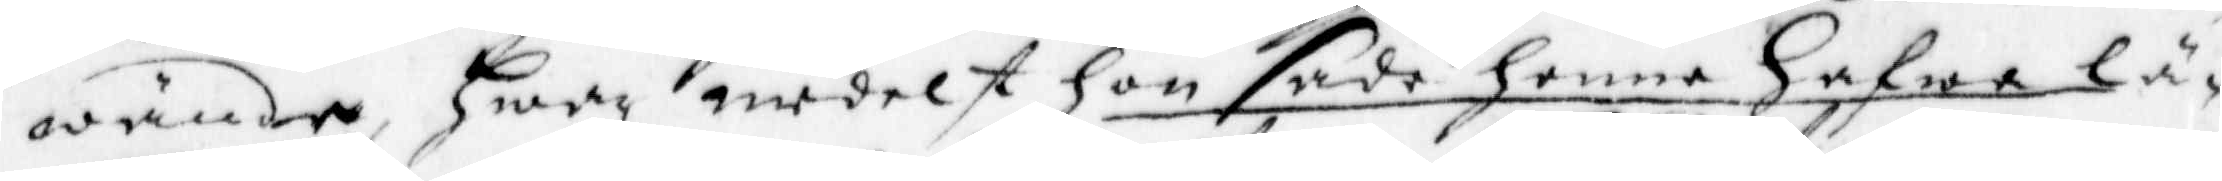wände, Hwar medelst hon sade henne hafwa lä¬
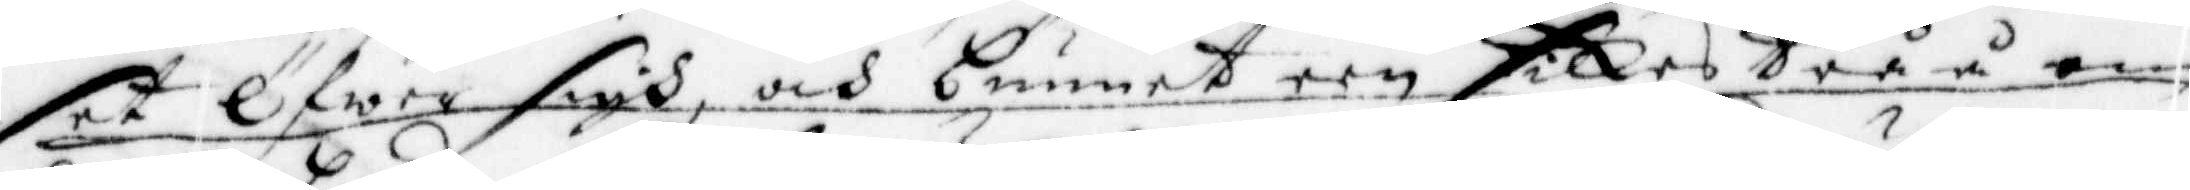set Öfwer sigh, och bunnet een silkes Tråå om
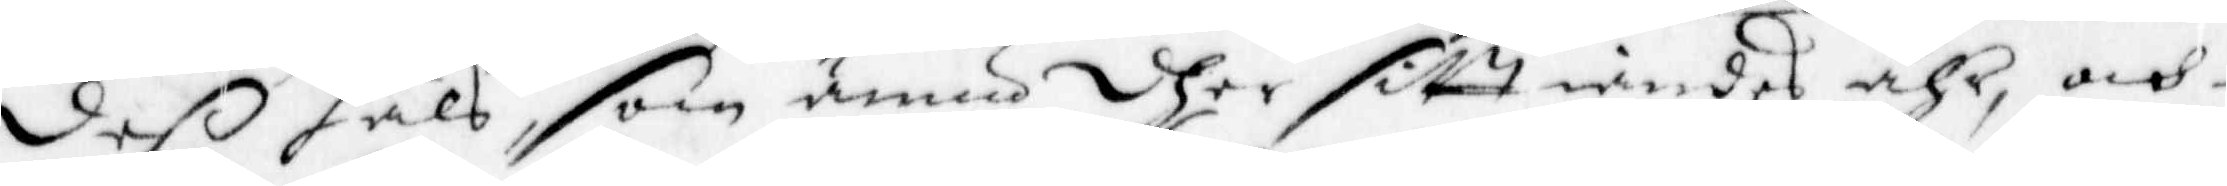deß hals, som ännu dher sitt iandes ähr, och
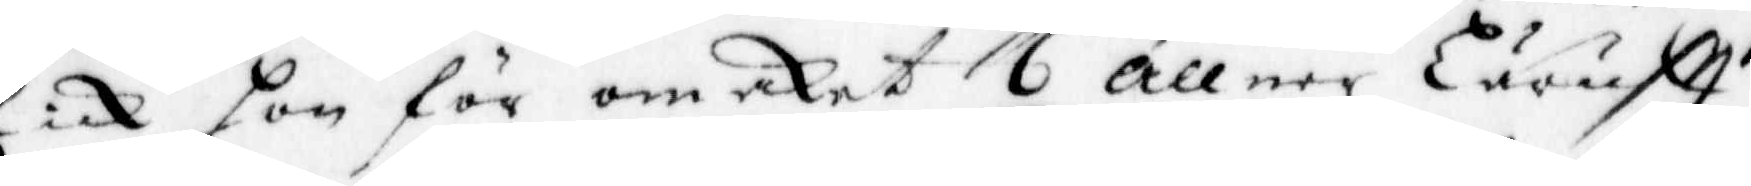fick hon för omaket 6 allner Läruftt.
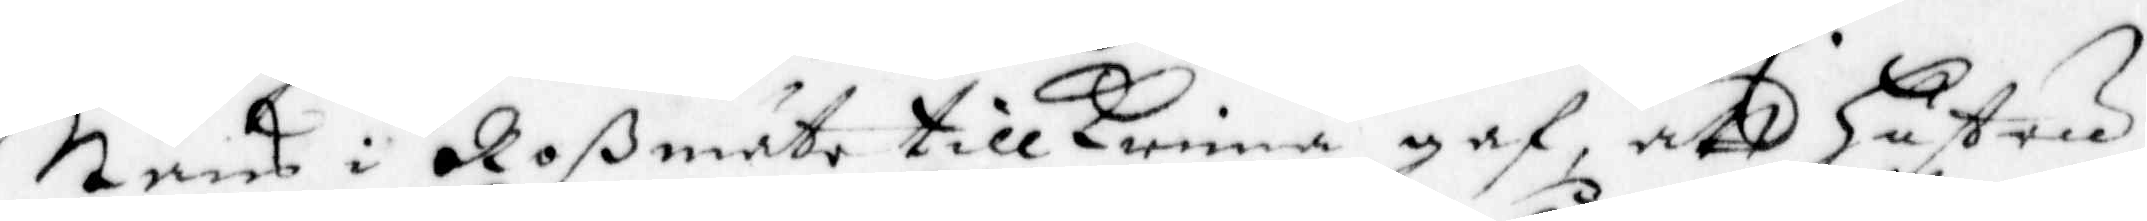Måns i Roßmäte tillkenna gaf, att hustru
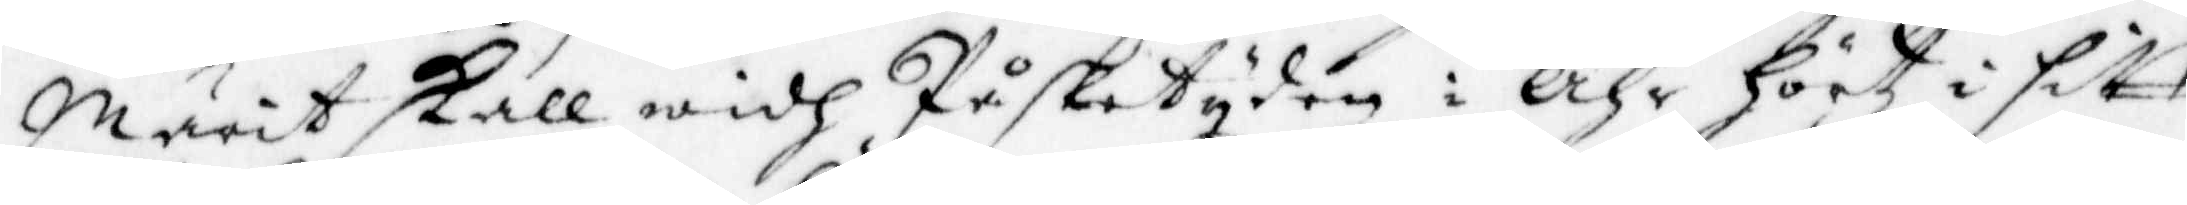Marit skall widh Påsketyden i åhr hörtz i sitt
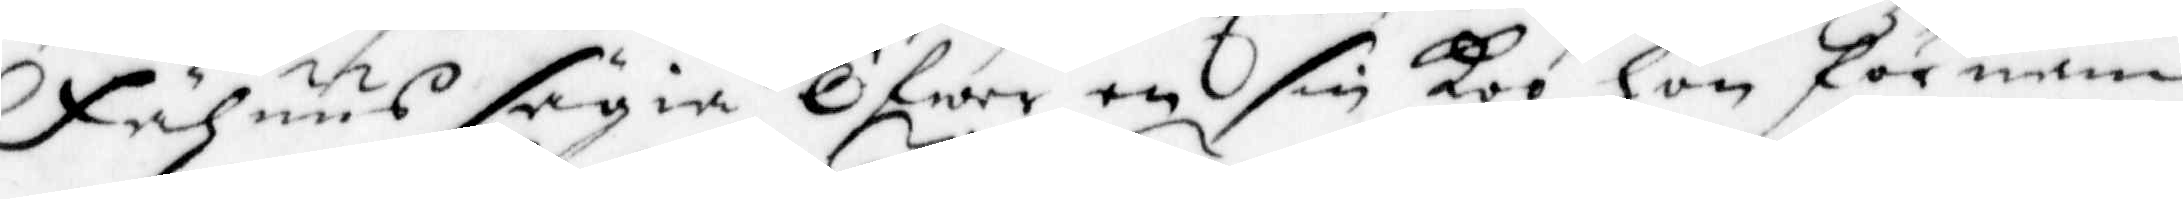Fähuus sägia Öfwer en sin koo hon förnam
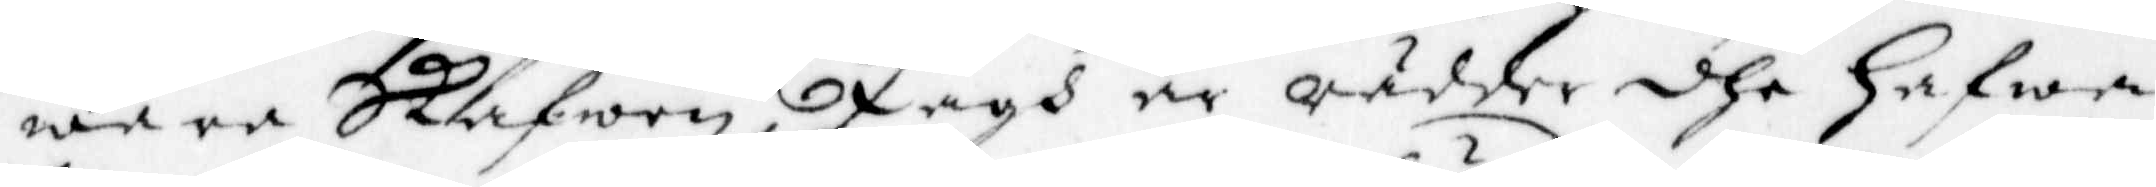wara Skafwen Jagh är rädder dhe hafwa
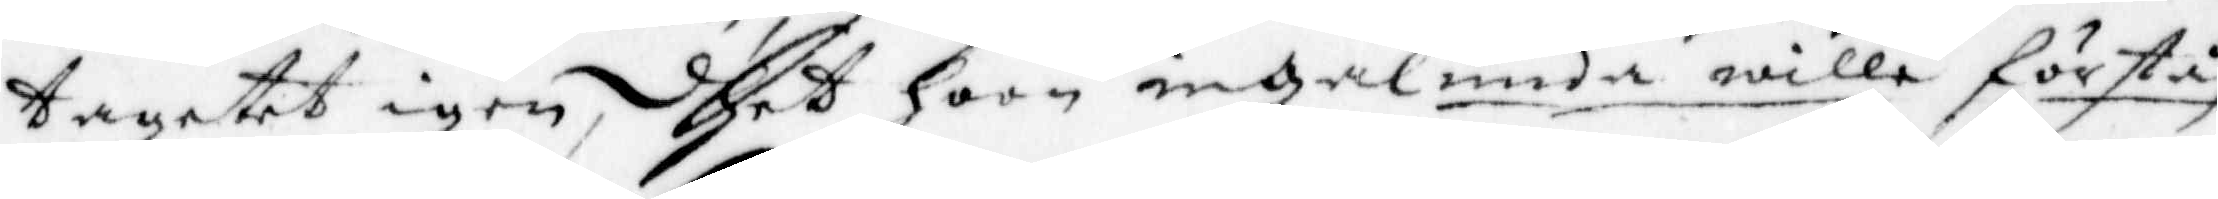tagete igen, dhet hoon ingalunda wille förstå
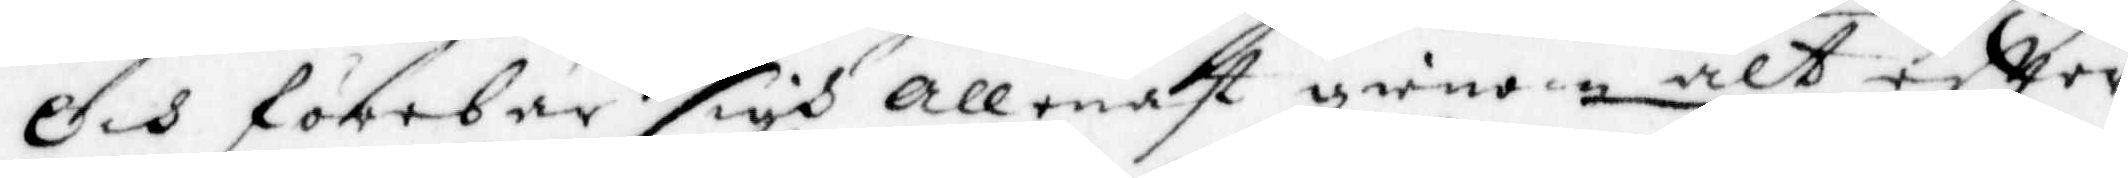Och förebar sigh allenast gienom alt eftter
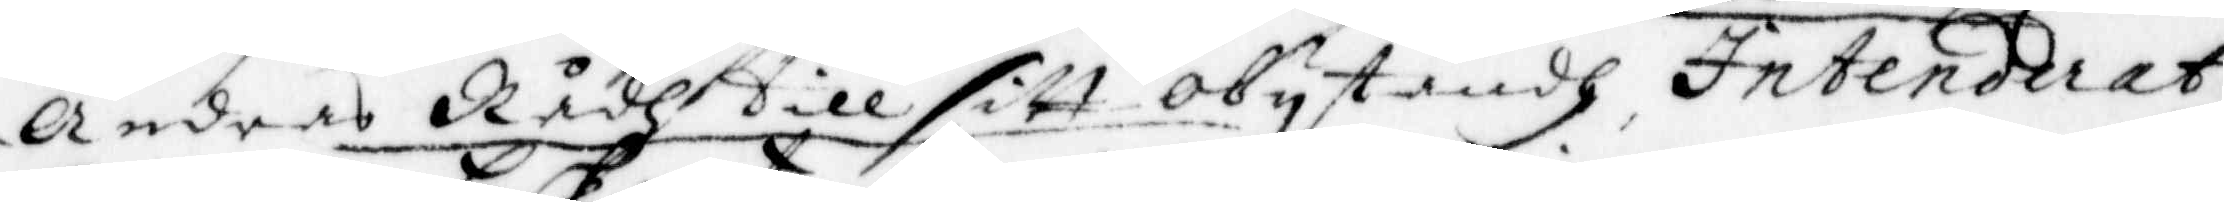Andras Rådh till sitt olytåndh Intenderat
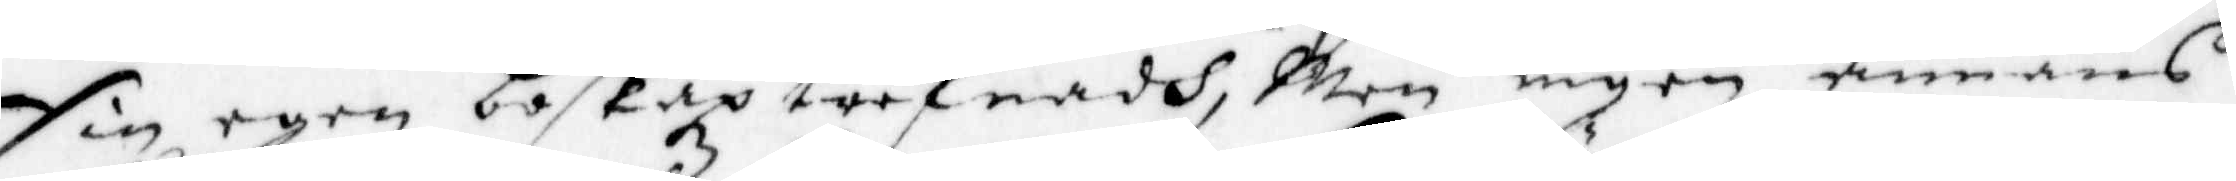sin egen boskap treffnadh, Men ingen annans
